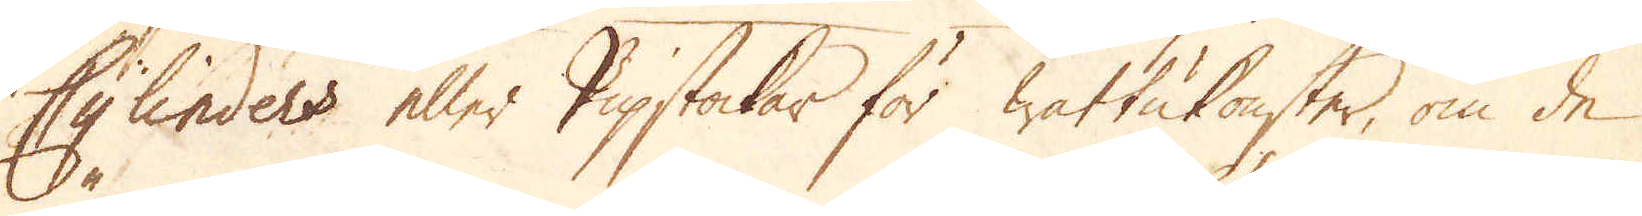Cylinders eller Pipstockar för wattukonster, om de
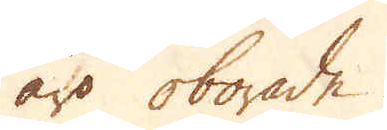äro oborade.
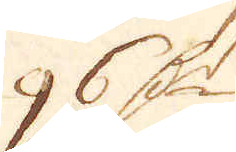96 D:r
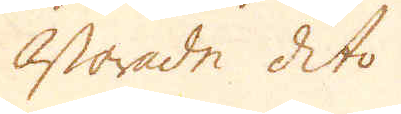Oborade dito
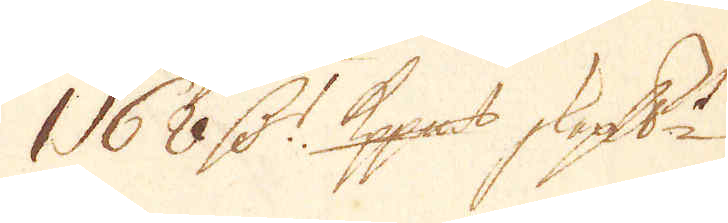1 68 D:r Kpp:mt skeppundet
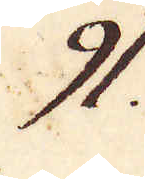91.
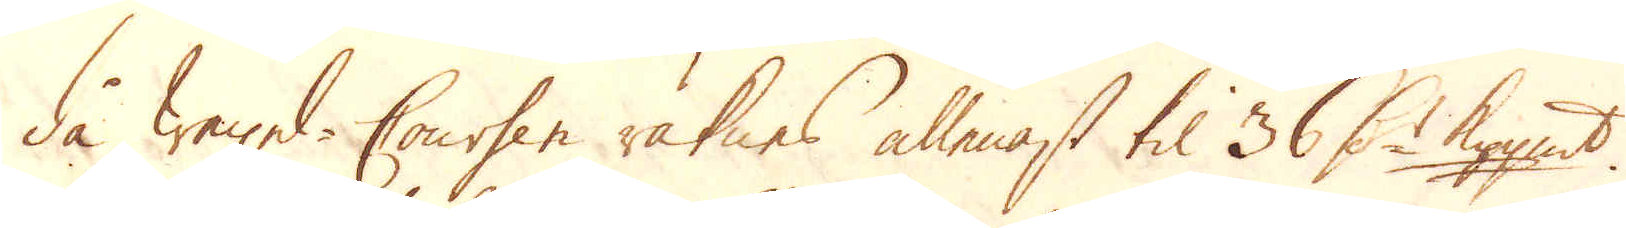då Wexel-Cousen räknes allenast til 36 D:r kpp:mt.
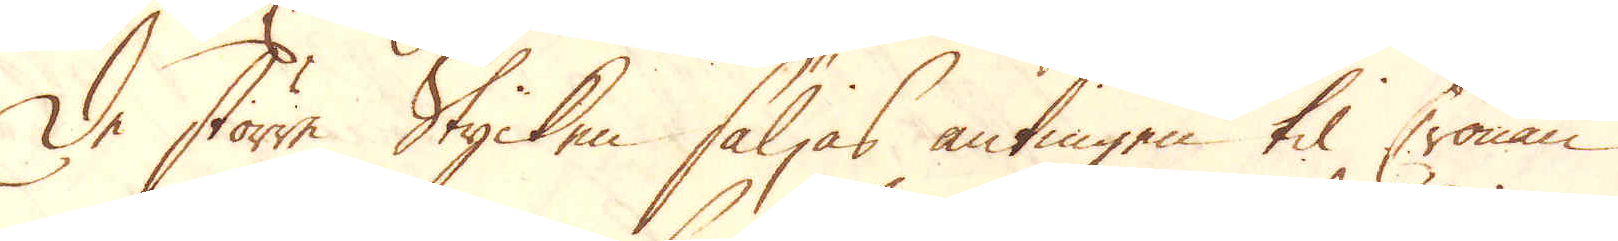De större Stycken säljas antingen til Cronan
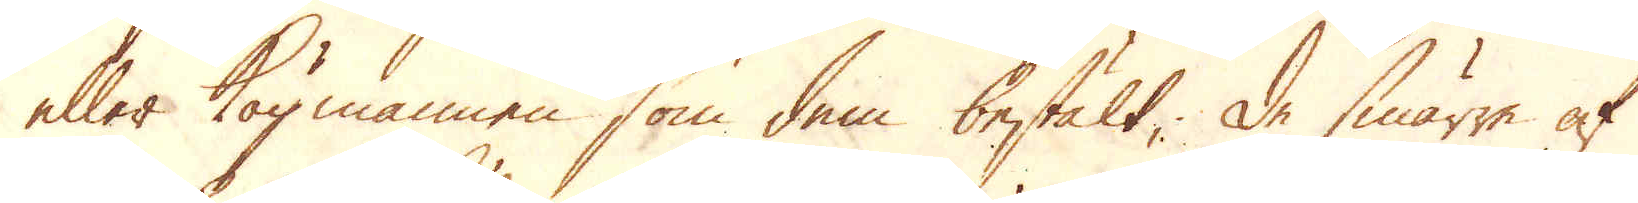eller köpmannen som dem bestält; De smärre af
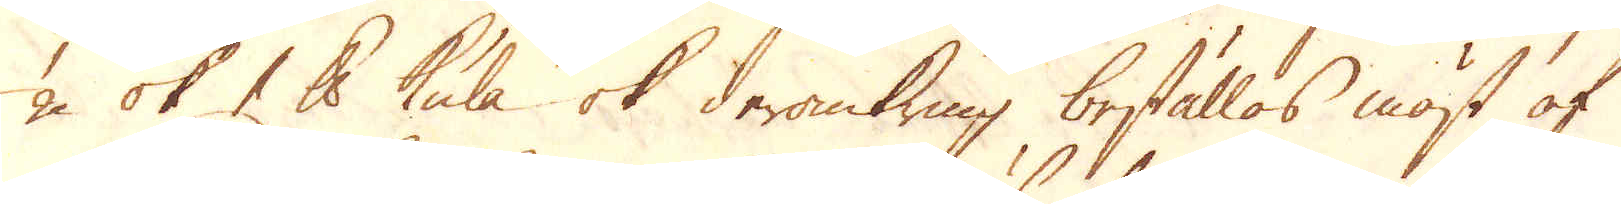1/2 ok 1 skålpund kula ok deromkring beställas mäst af
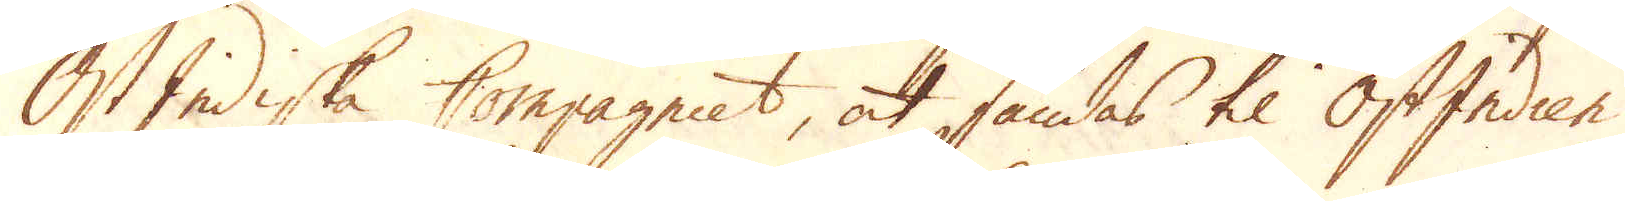Ost Indiska Compagniet, at sändas til OstIndien.
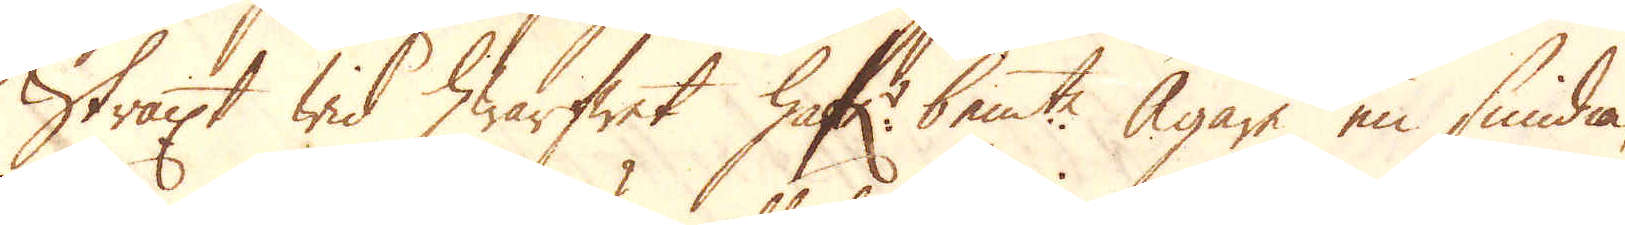Straxt wid hwarfwet haf:r bem:te. Ägare en smidia,
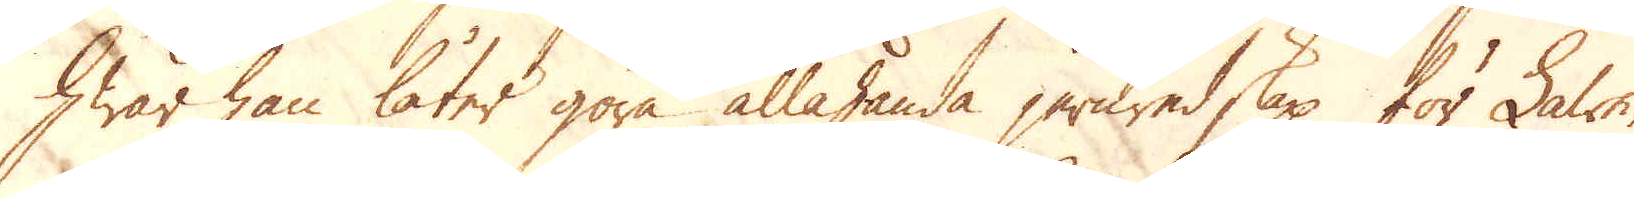hwar han låter göra allahanda jernredskap för Lawe-
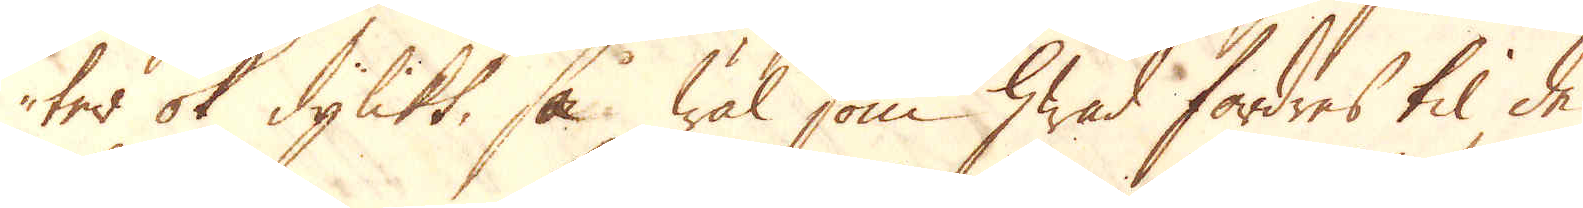ter ok dylikt, så wäl som hwad fordres til de
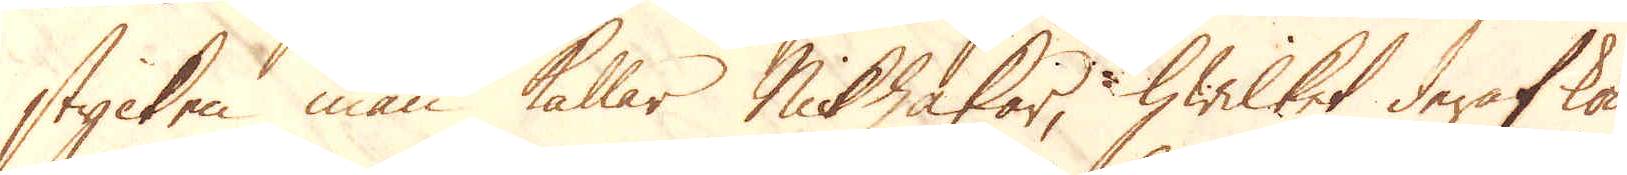stycken man kallar Nidhakar, hwilket deraf kom-
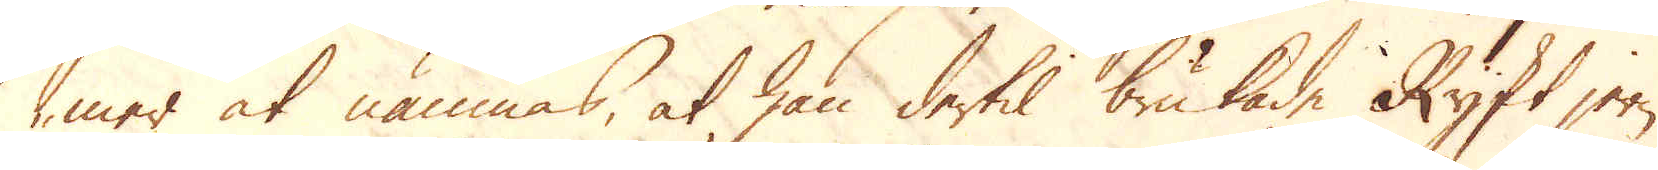mer at nämnas, at han dertil brukade Ryskt jern
